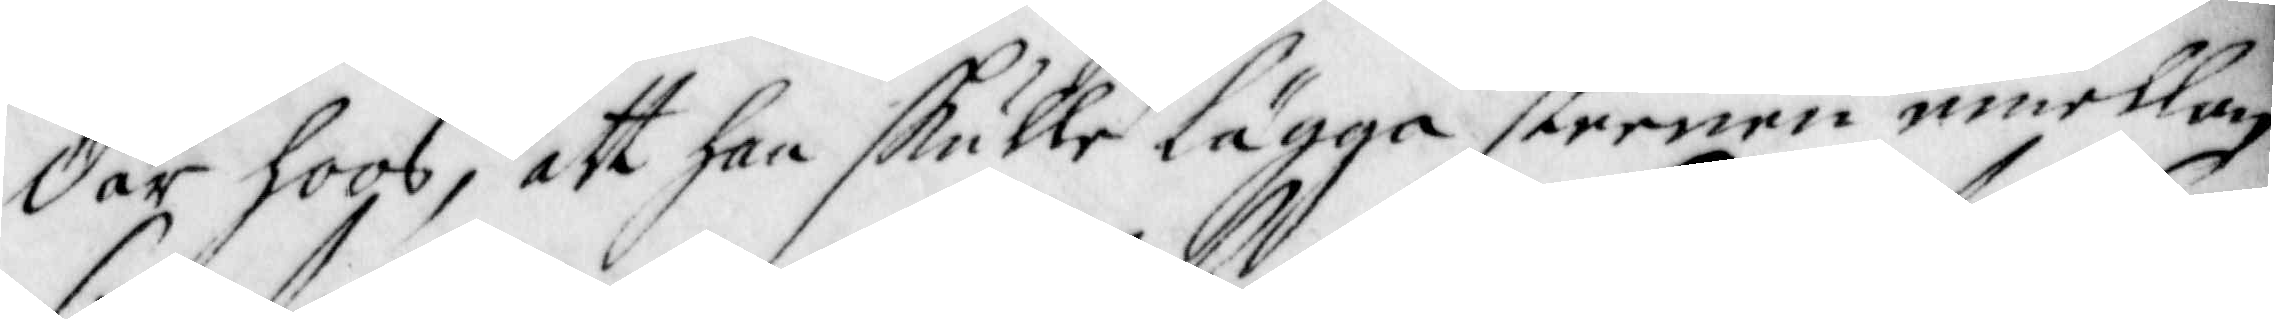där hoos, att han skulle lägga steenen emellan
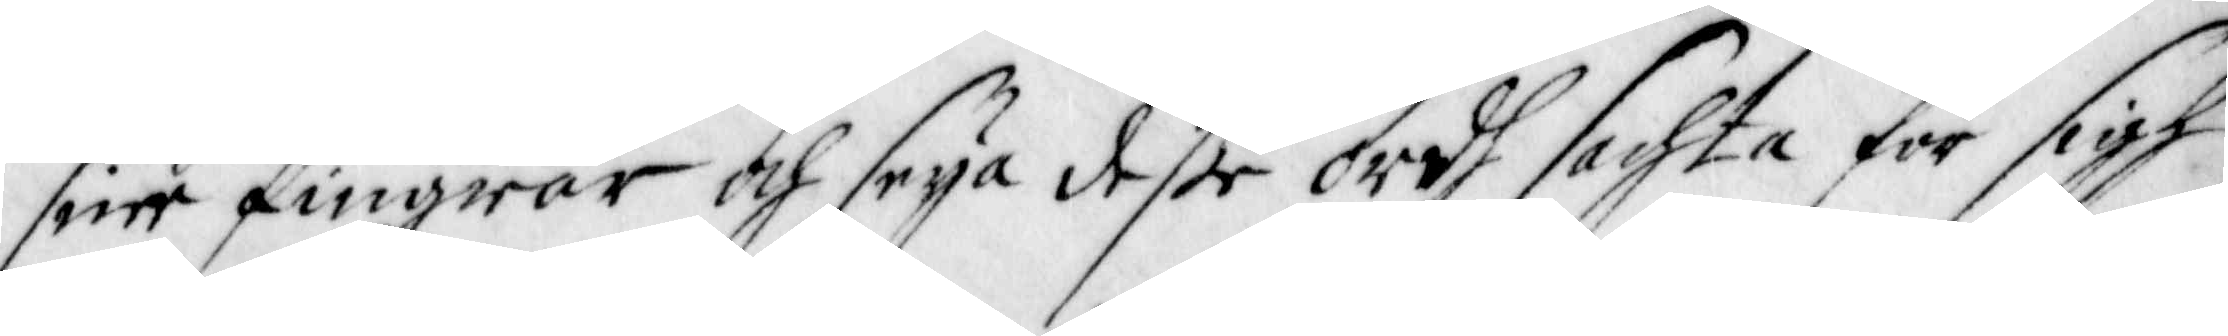sine fingrar och seya deße ordh sachta för sigh
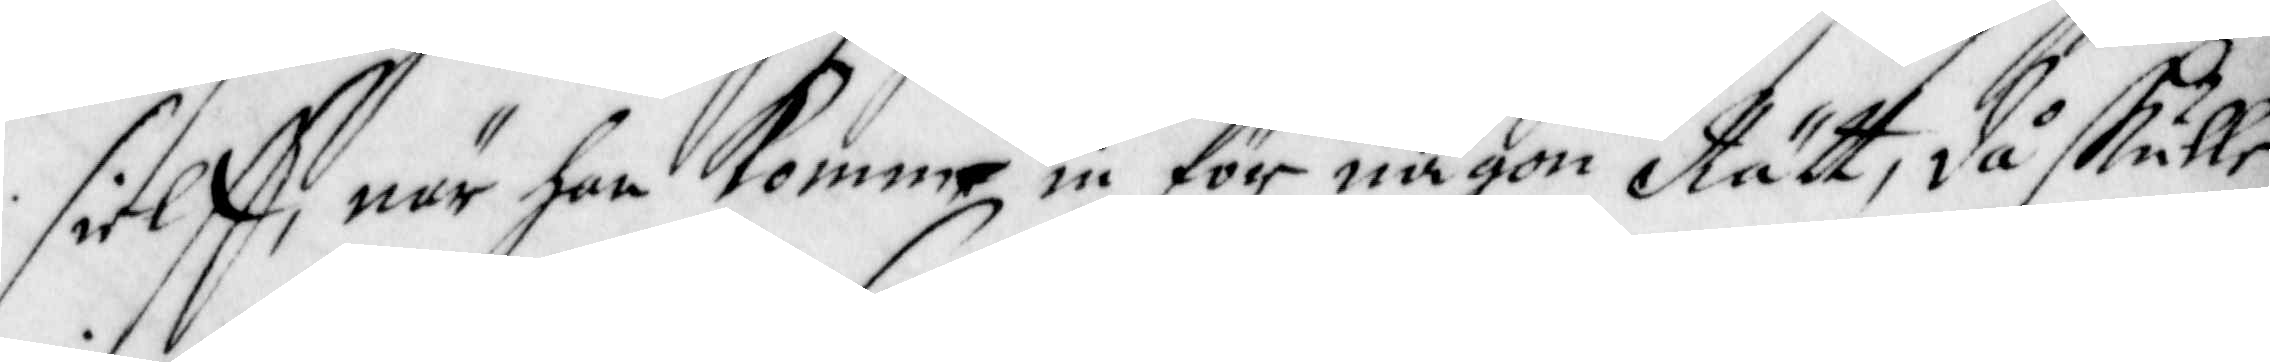sielff, när han kommo in för någon Rätt, då skulle
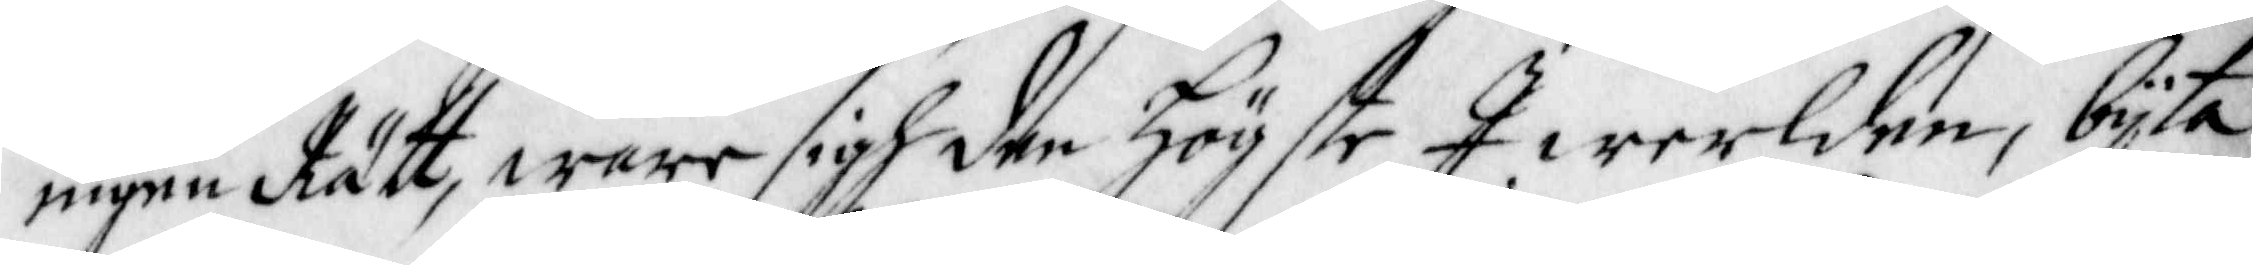ingen Rätt, ware sigh den Högste I werlden, bijta
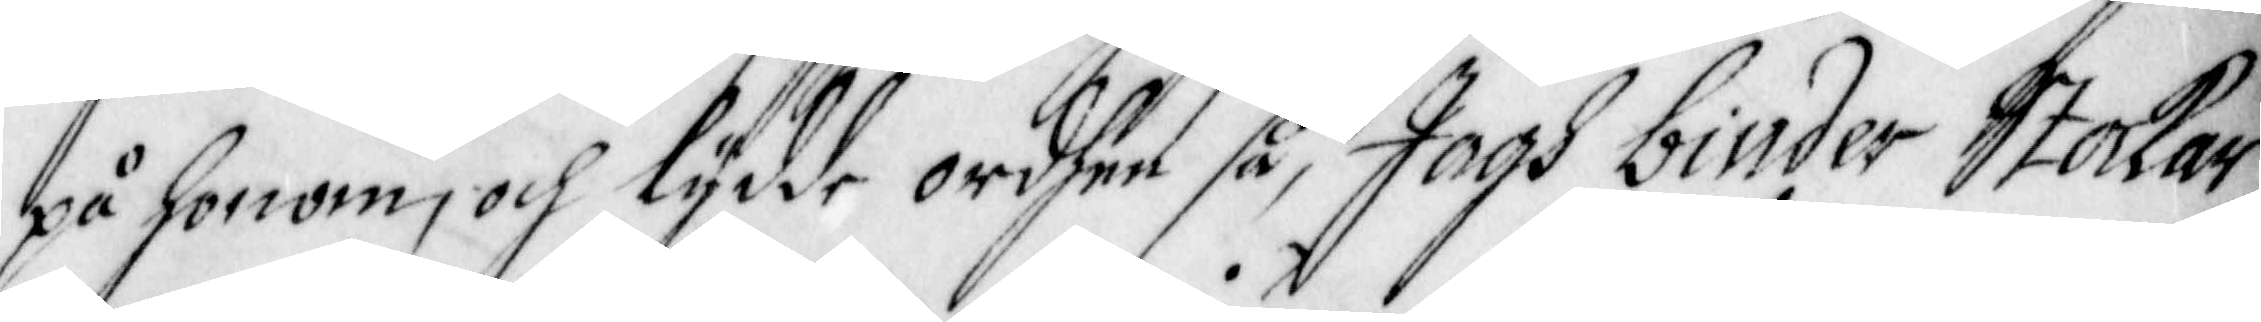på honom, och lydde ordhen så, Jagh binder Stockar
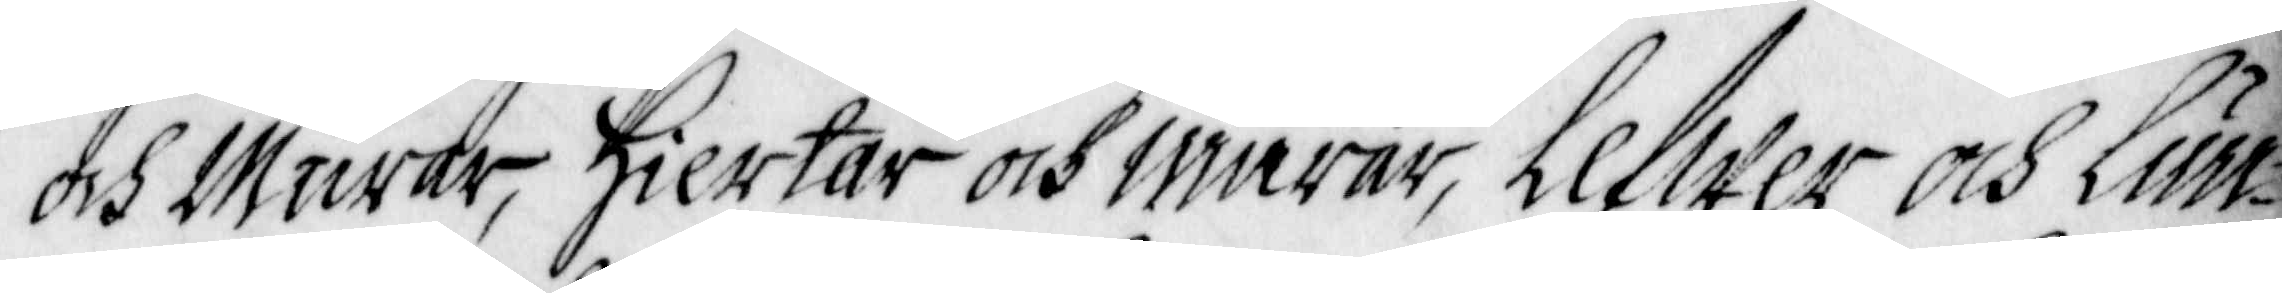och Murar, Hiertar och Niurar, Lefwer och Lun¬
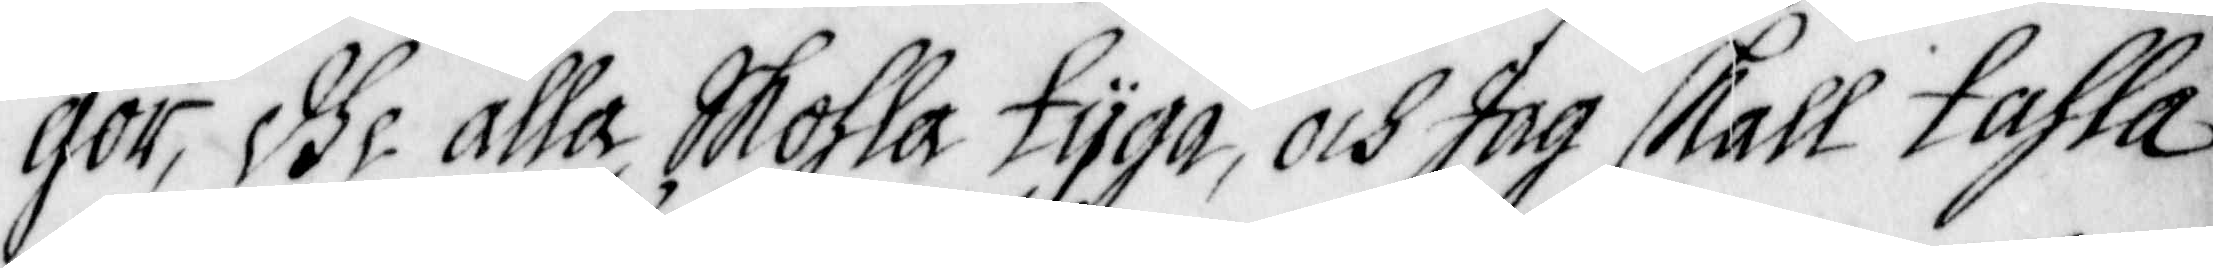gor, dhe alla Skohla tijga, och Jag skall tahla
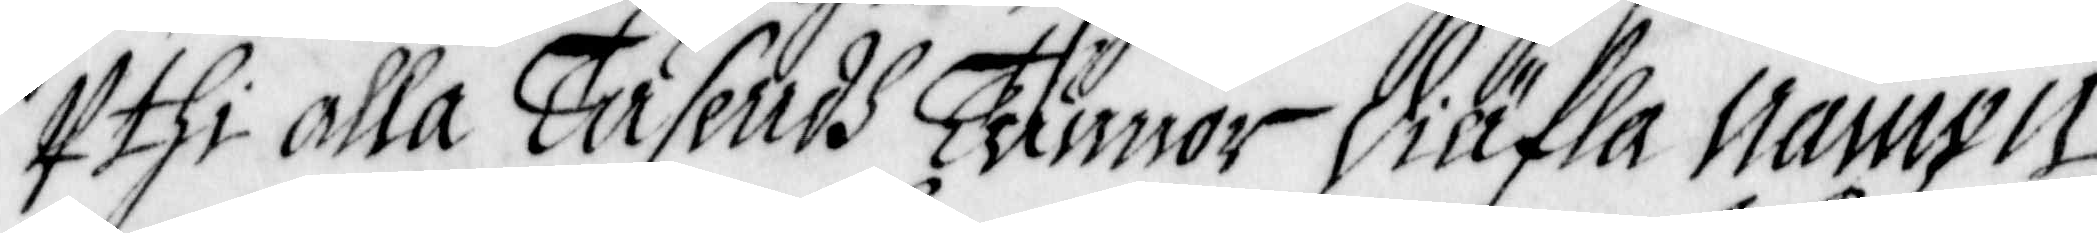Uthi alla Tusendh Tunnor Diäfla Nampn;
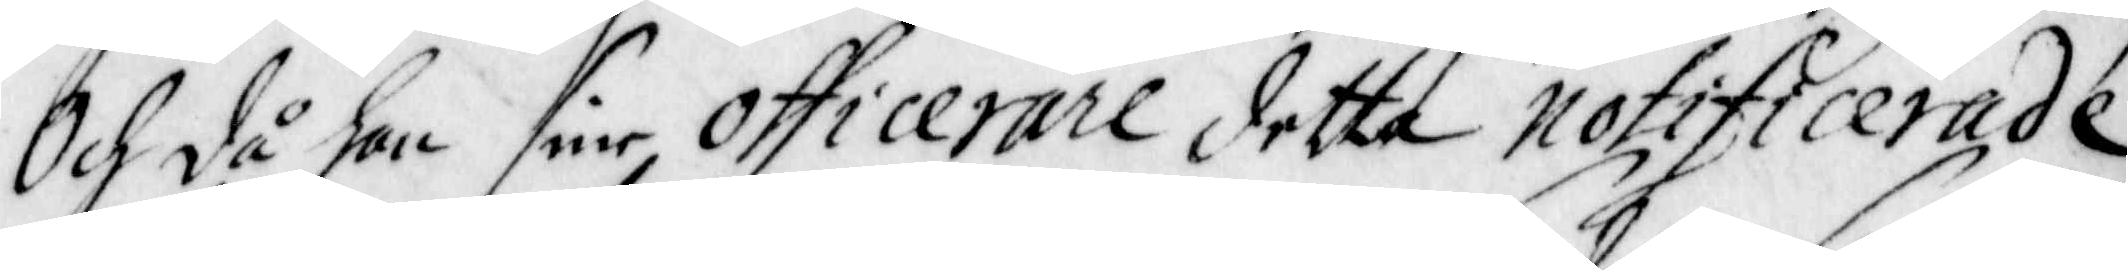Och då han sine officerare detta notificerade,
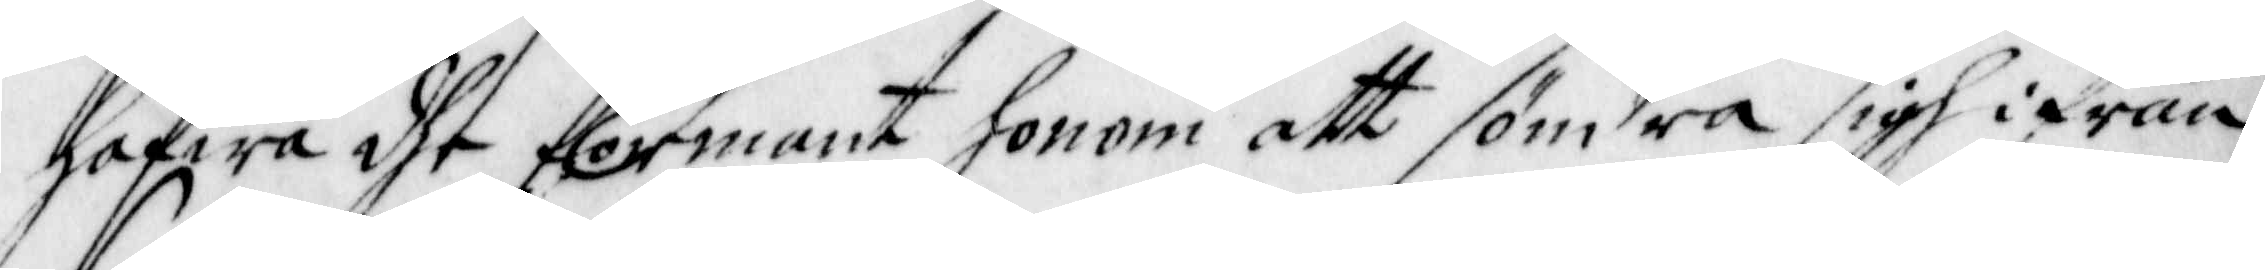hafwa dhe förmant honom att söndra sigh ifrån
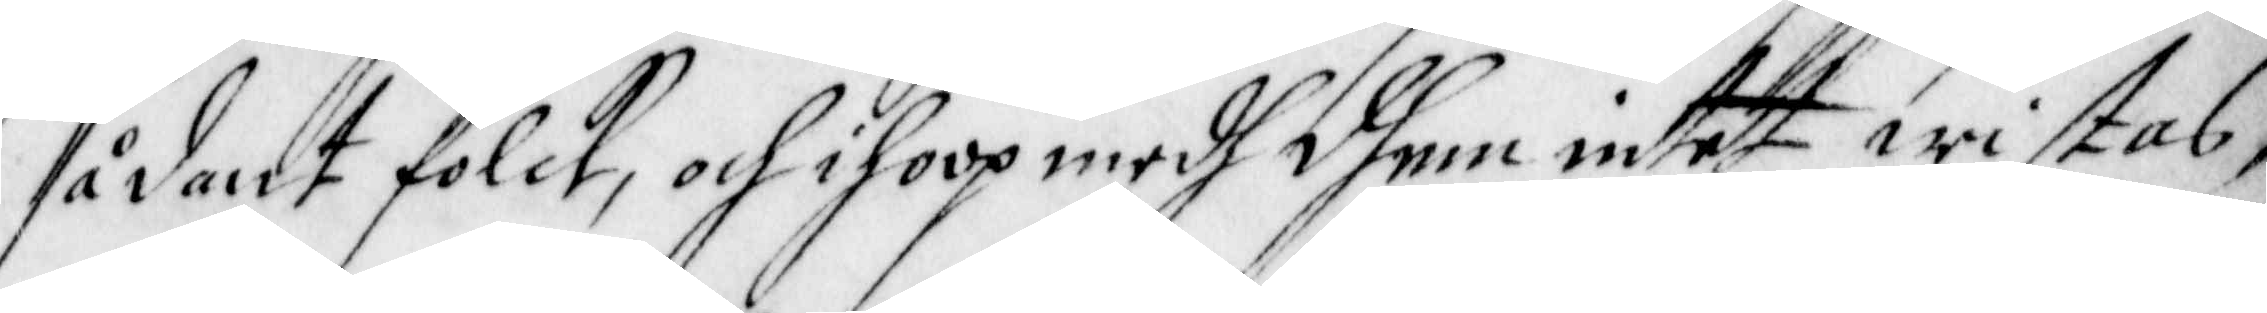sådant folck, och ihoop med dhem intet wistas,
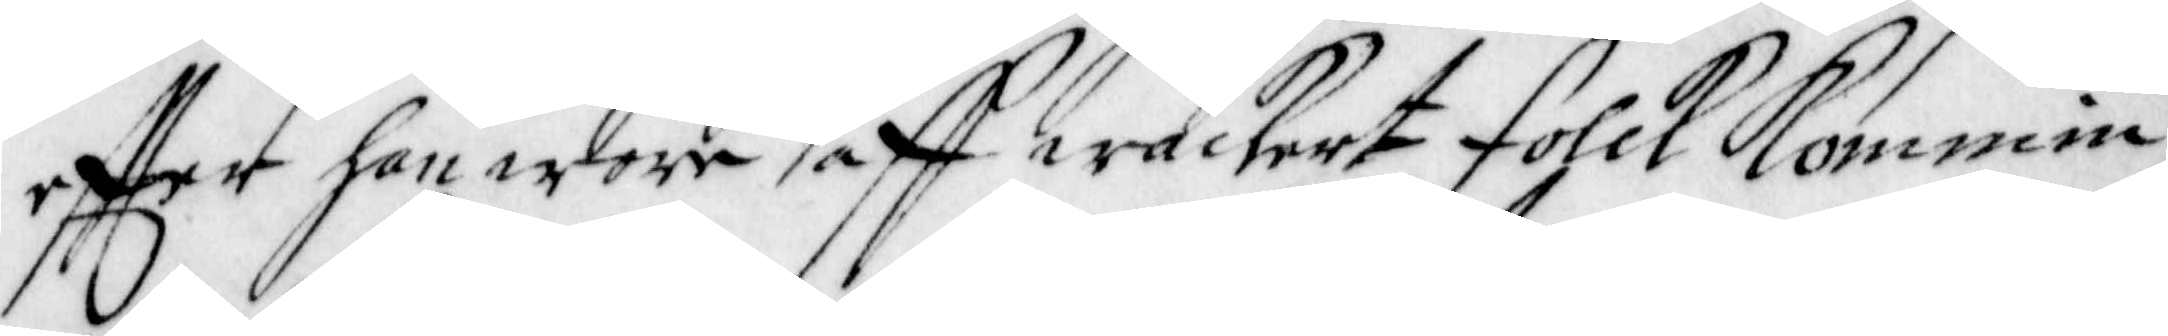effter han wore aff wackert Folck Kommin,
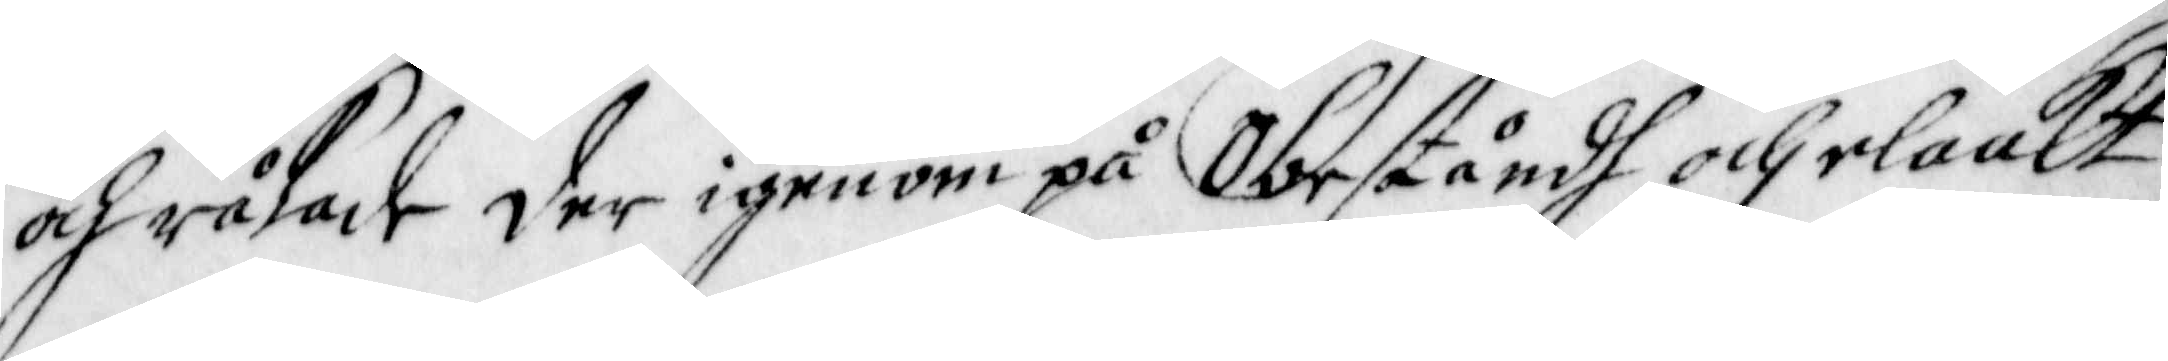och råkade der igenom på Obeståndh och elaakt 
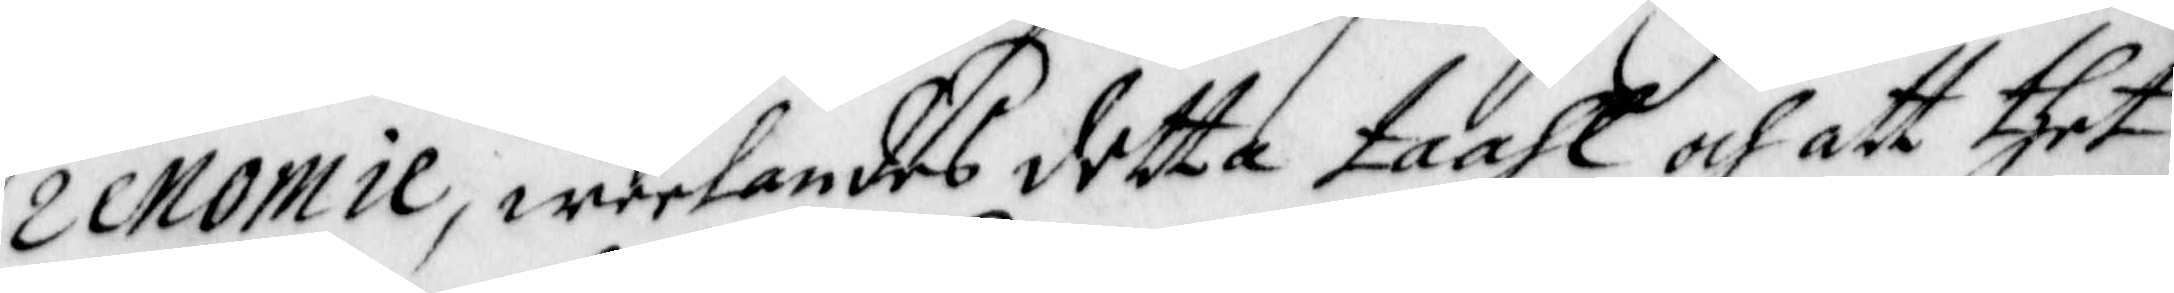renomie, weelandes detta taahl och att thet
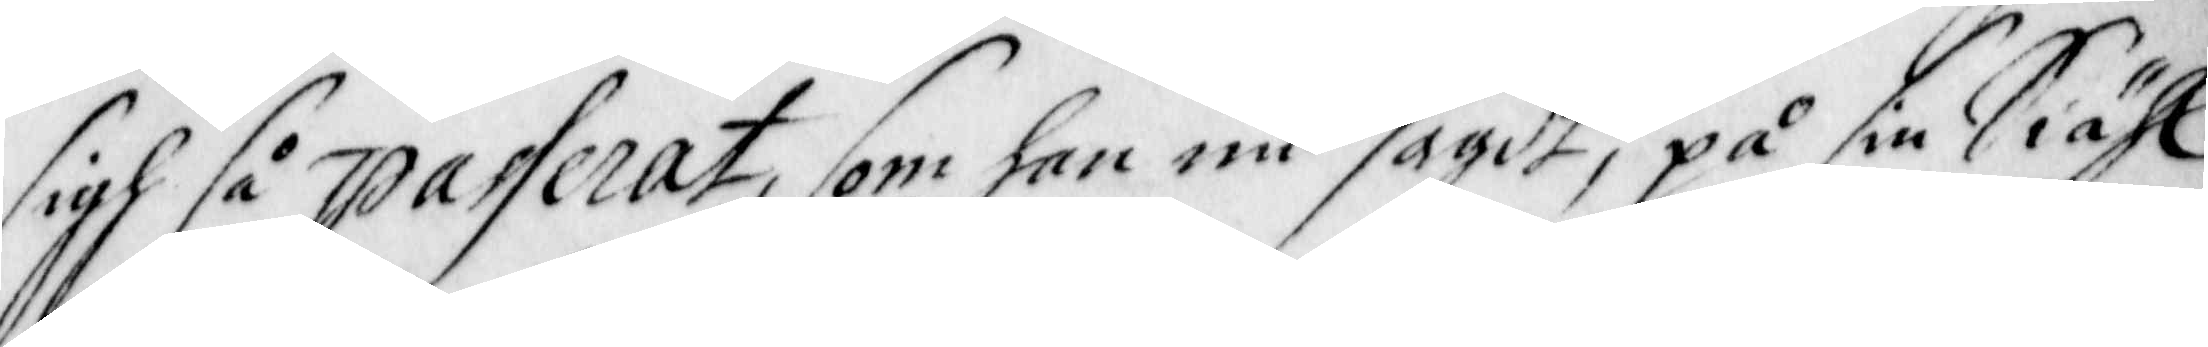sigh så passerat, som han nu sagdt, på sin Siähl
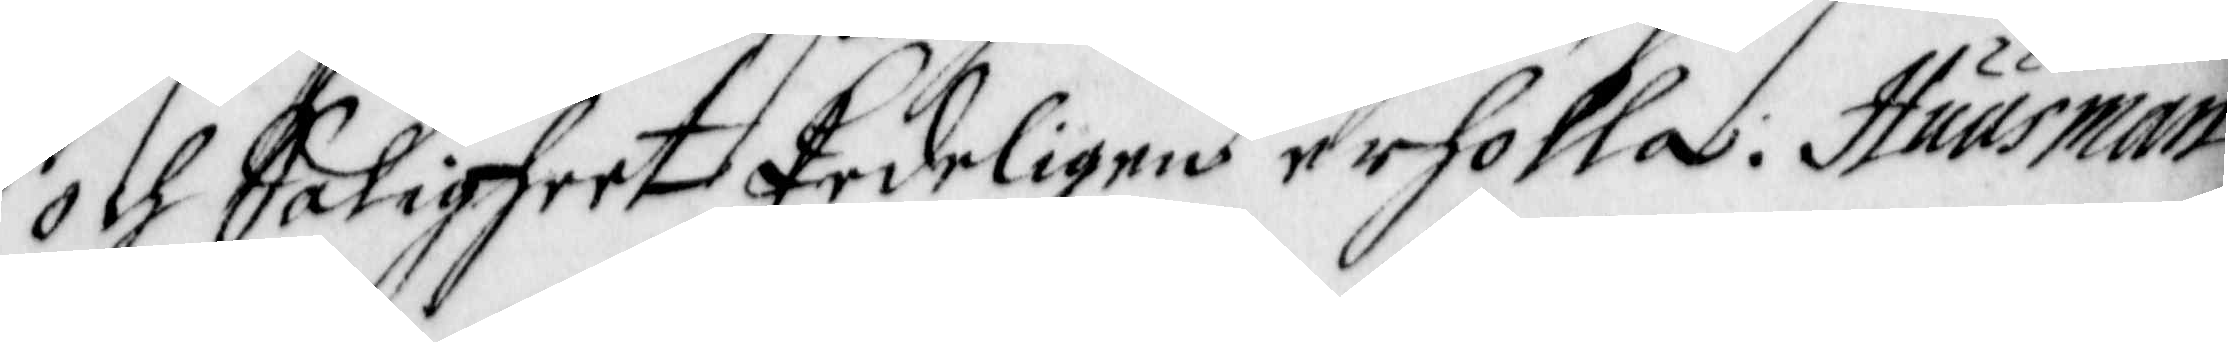och Saligheet Erdeligen erholla: Huusman
